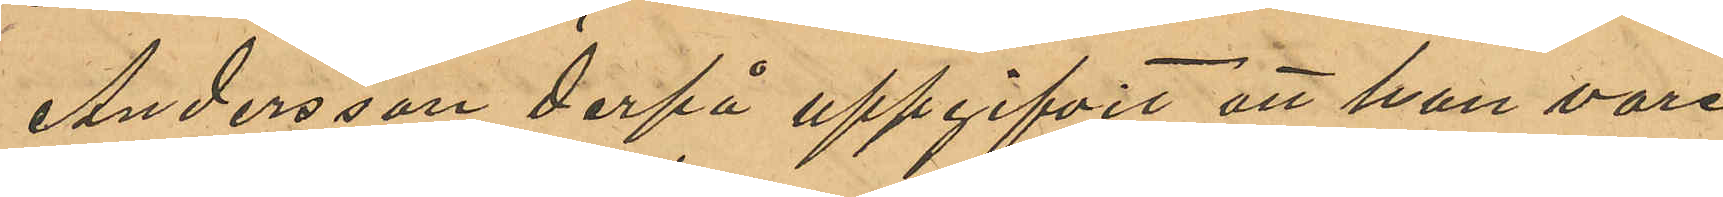Andersson derpå uppgifvit att han vore
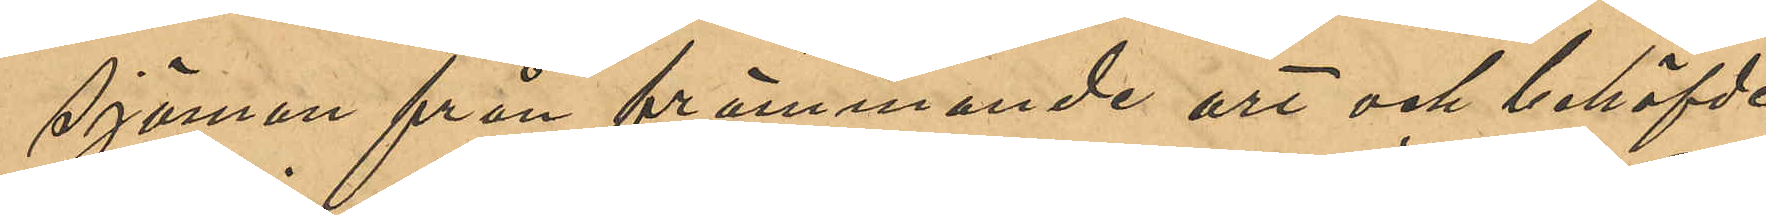sjöman från främmande ort och behöfde
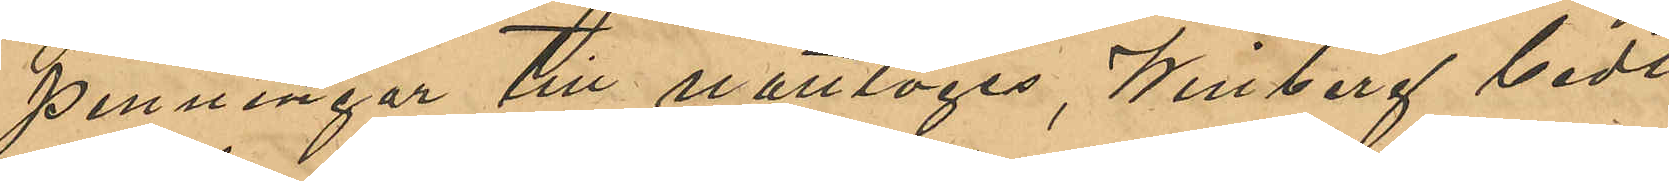penningar till nattlogis, Winberg bedt
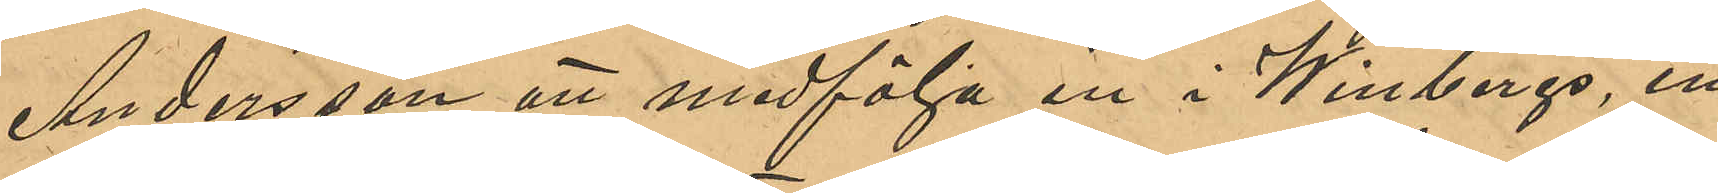Andersson att medfölja in i Winbergs, in¬
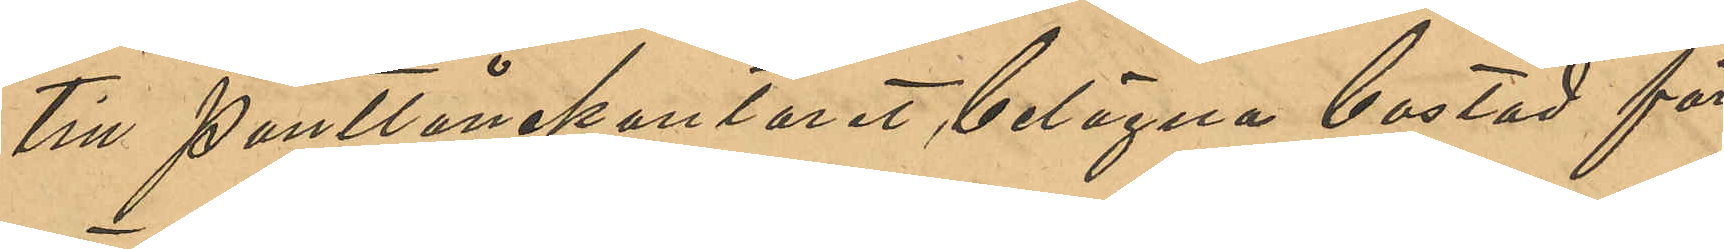till Pantlånekontoret, belägna bostad för
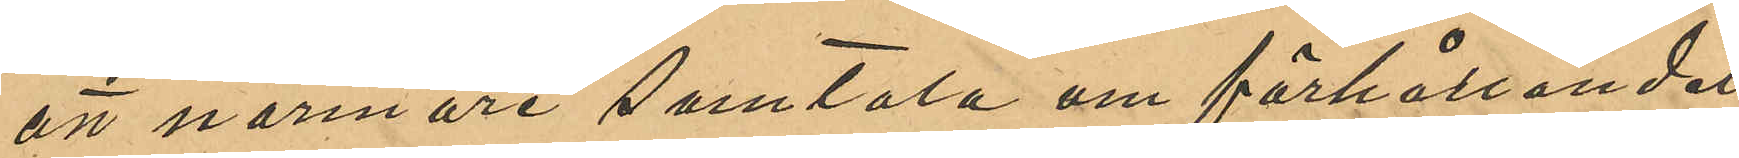att närmare samtala om förhållandet;
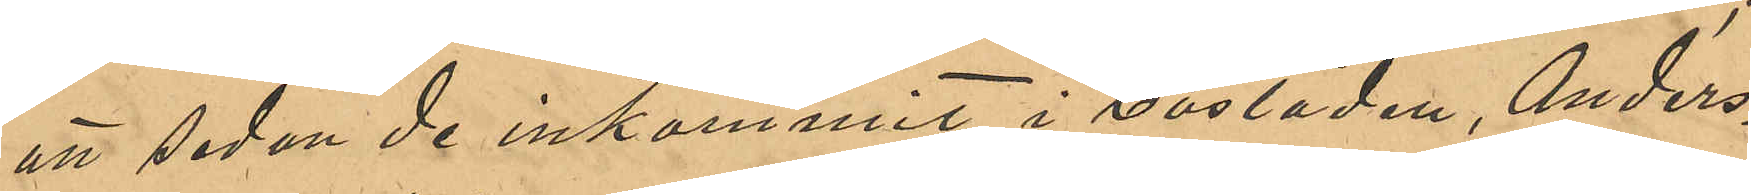att sedan de inkommit i bostaden Anders¬
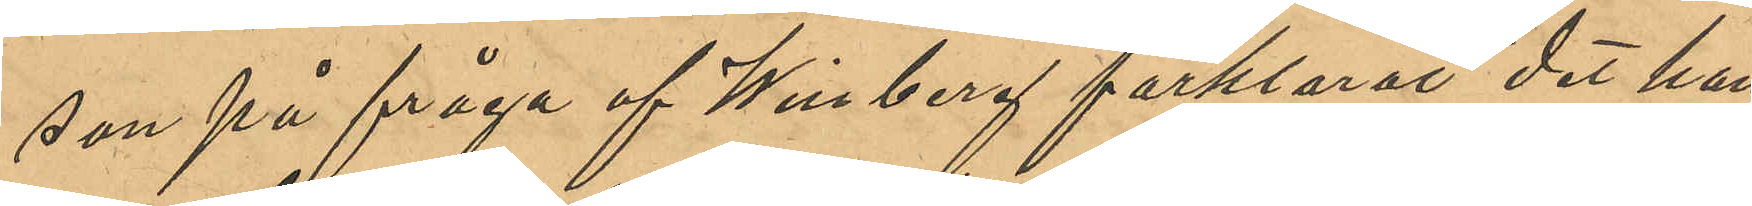son på fråga af Winberg förklarat det han
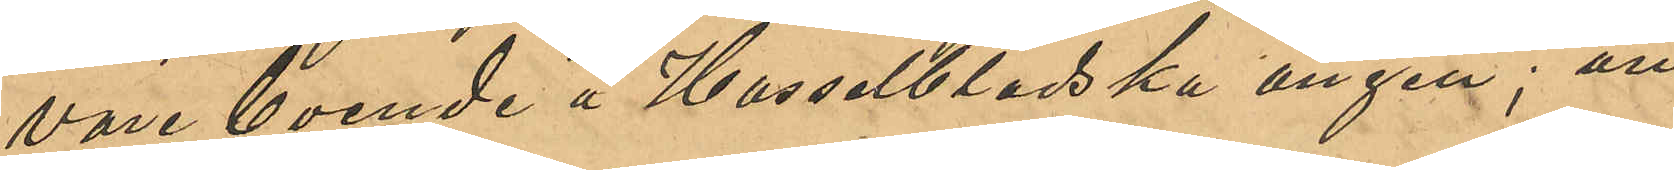vore boende å Hasselbladska ängen; att
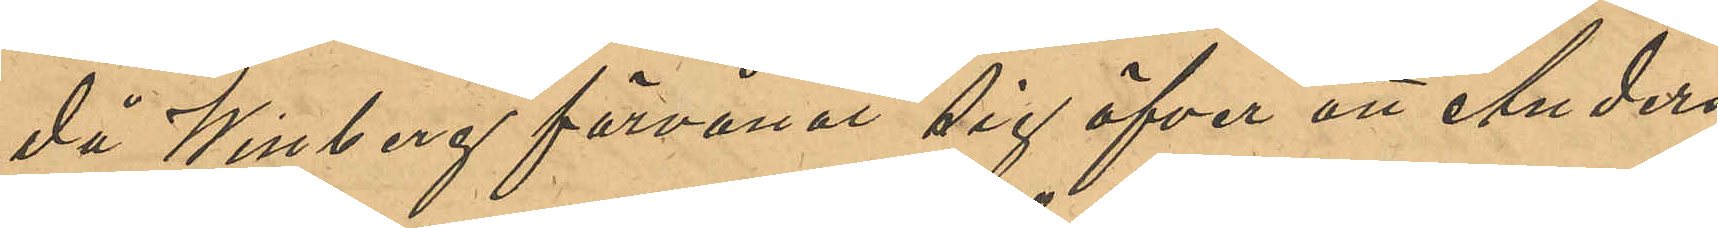då Winberg förvånat sig öfver att Anders¬
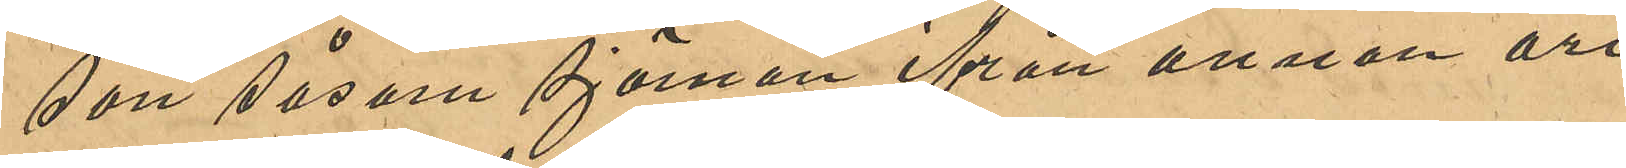son som sjöman ifrån annan ort
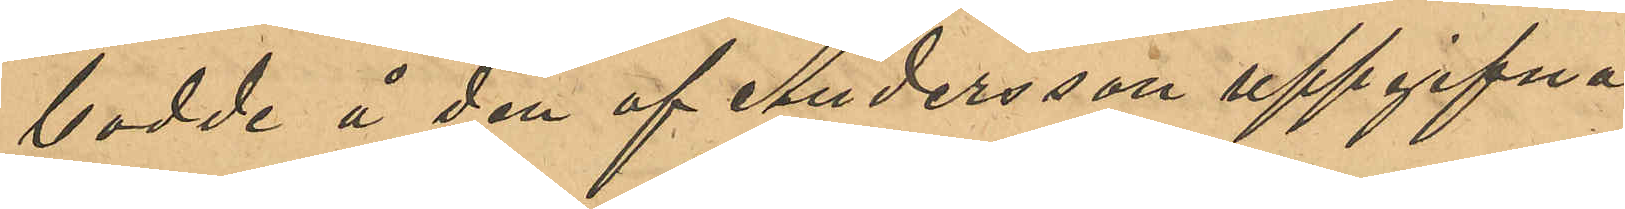bodde å den af Andersson uppgifna
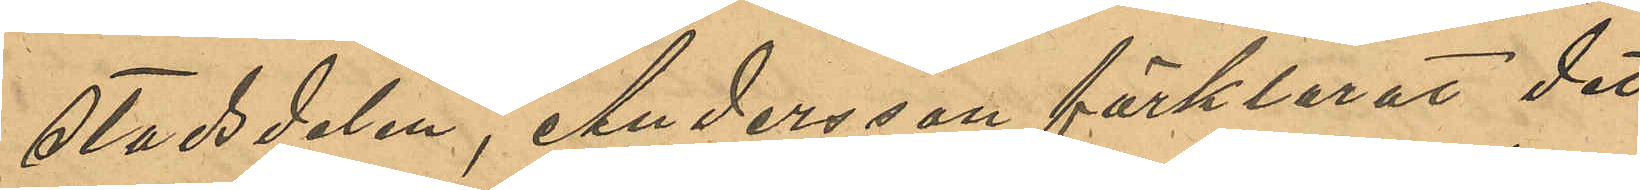stadsdelen, Andersson förklarat det
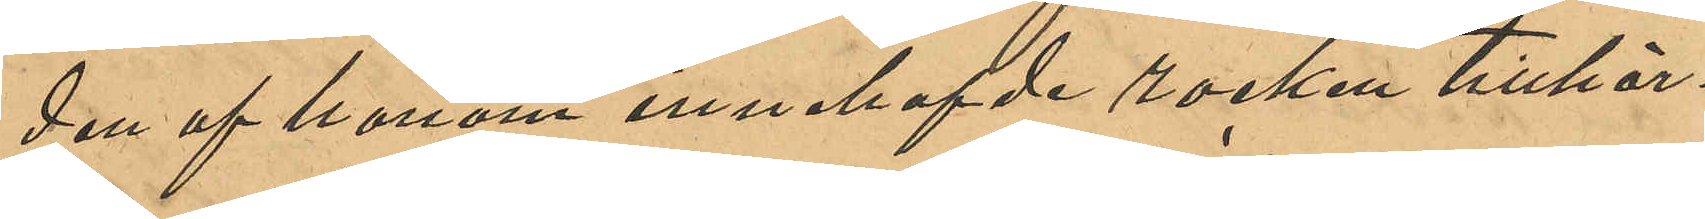den af honom innehafde rocken tillhör¬
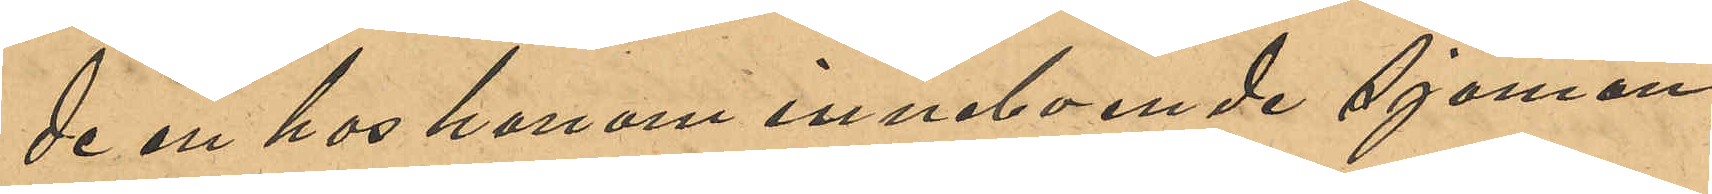de en hos honom inneboende sjöman,
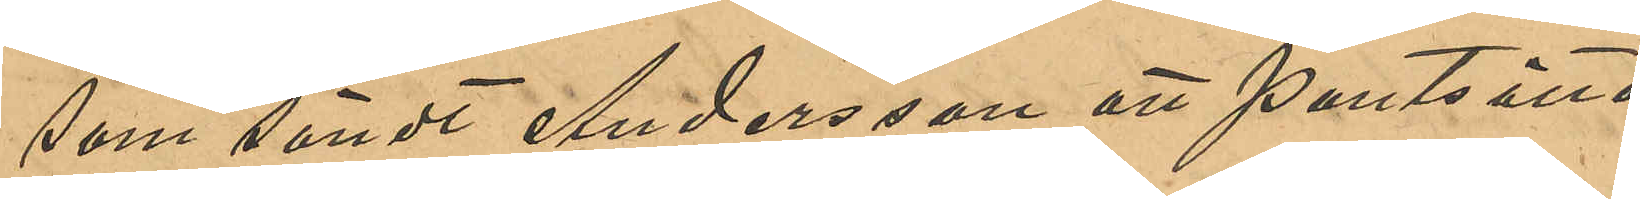som sändt Andersson att pantsätta
